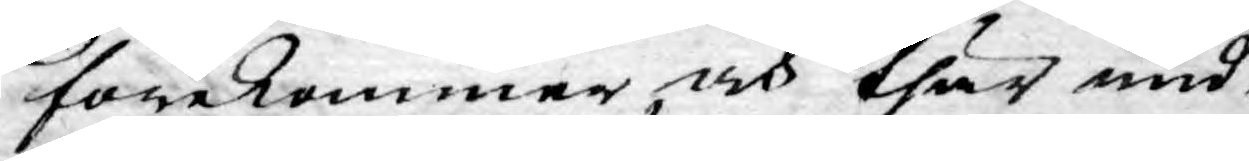förekommer, och thär und¬
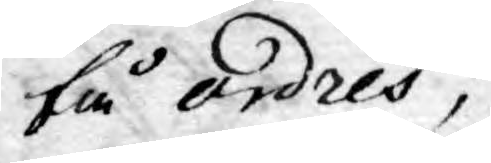få ordres,
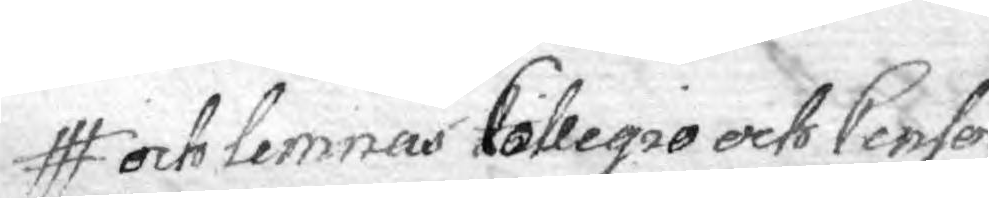och lemnas Collegio och Censor
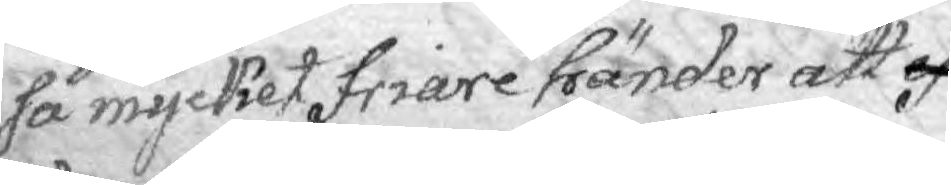så mycket friare händer att ef¬
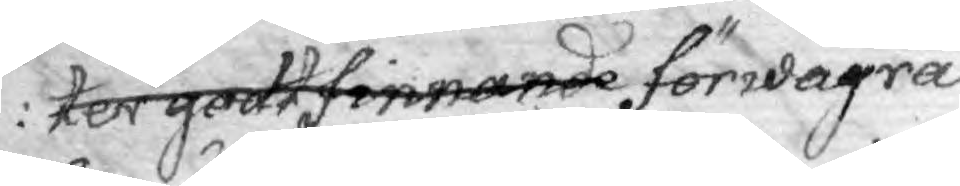ter godtfinnande förwägra
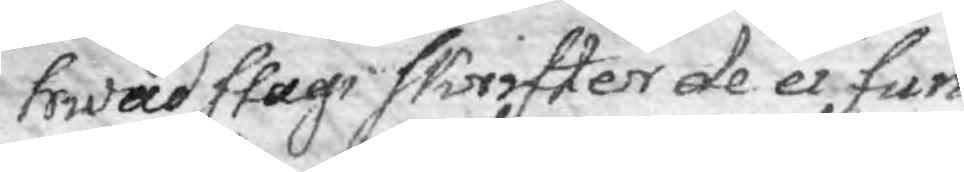hwad slags Skrifter de ei fun¬
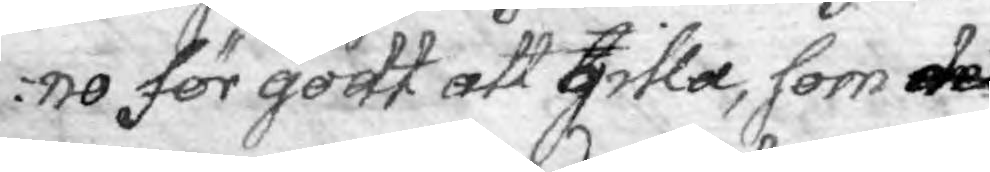no för godt att gilla, som det
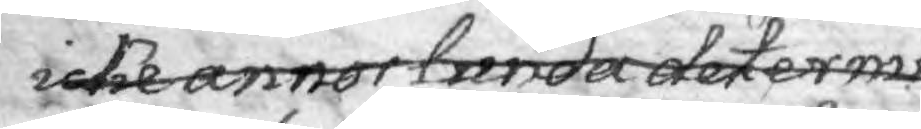icke annorlunda determi
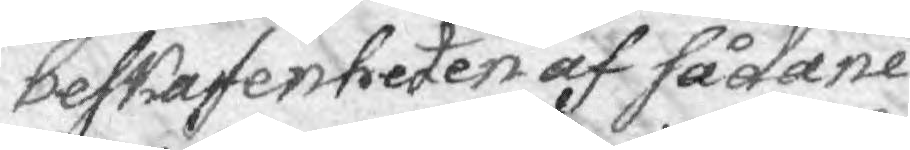beskaffenheten af sådane
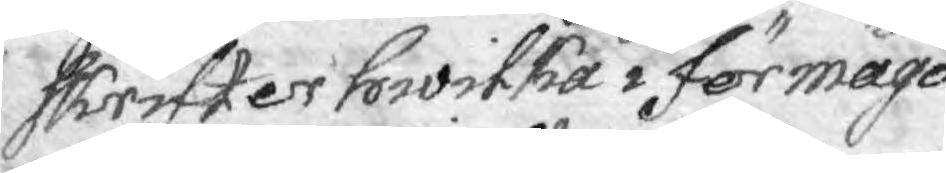skrifter hwilka i förmågo
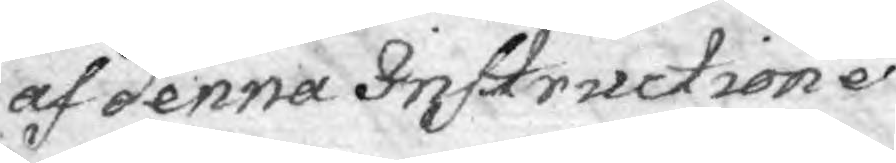af denna Instructiones
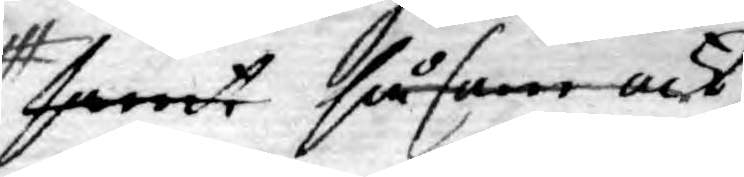samt såsom ock
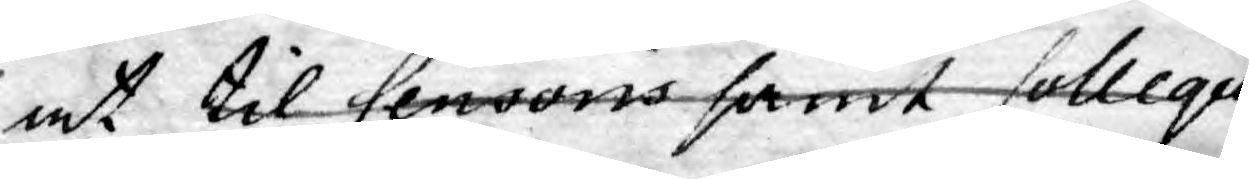at til Censoris samt Collegii
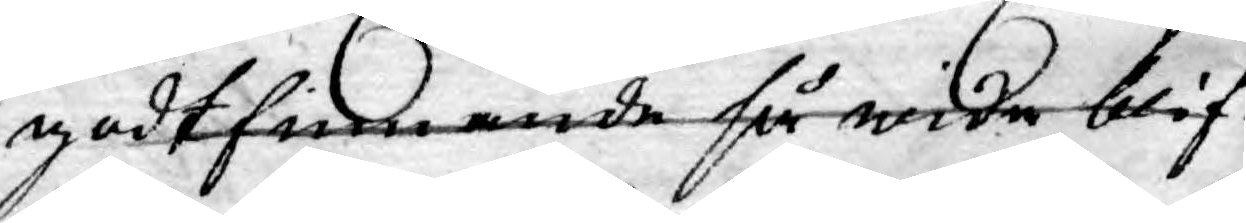godtfinnande så wida blif¬
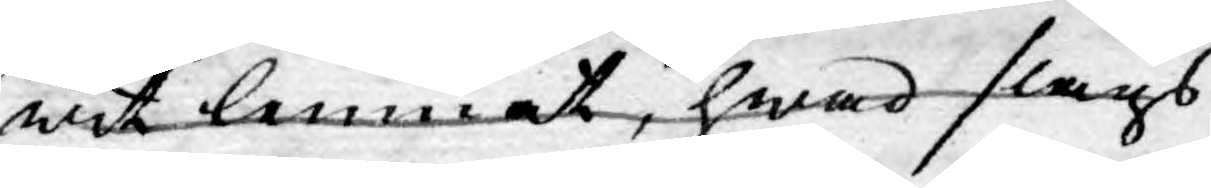wit lemnat, hwad slags
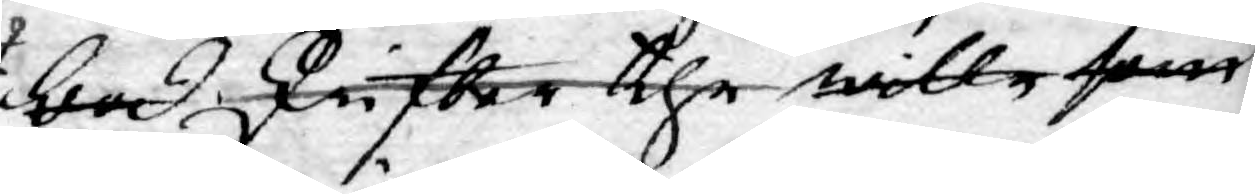bod skrifter the wille som
